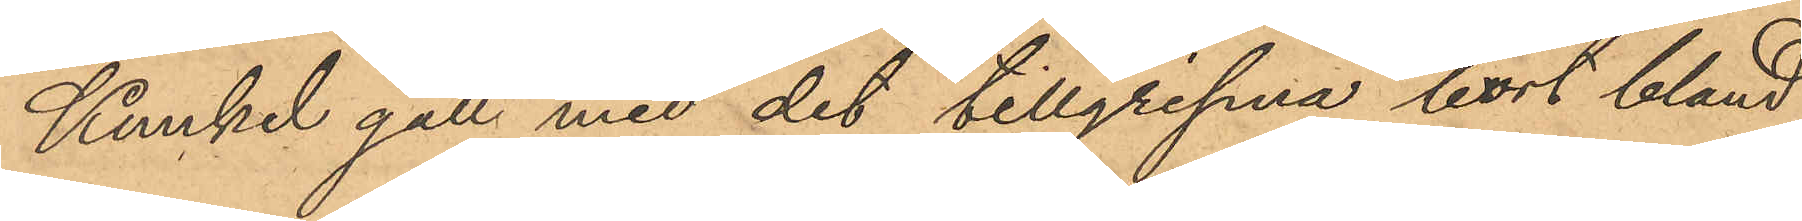Kunkel gått med det tillgripna bort bland
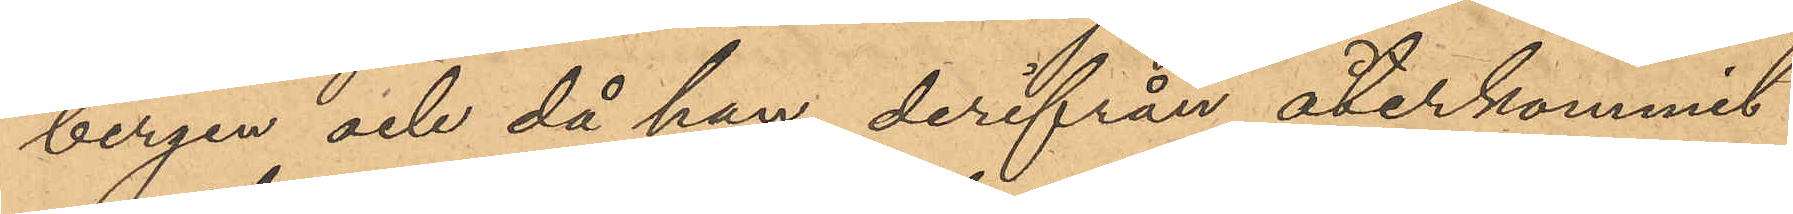bergen och då han derifrån återkommit
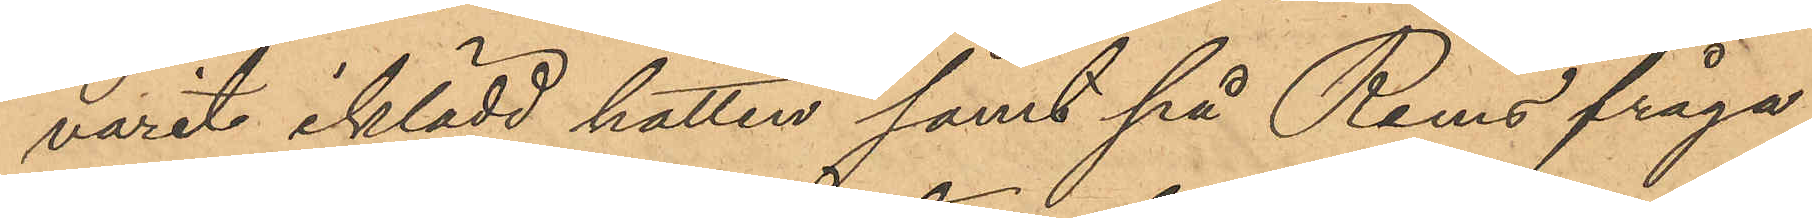varit iklädd hatten samt på Rems fråga
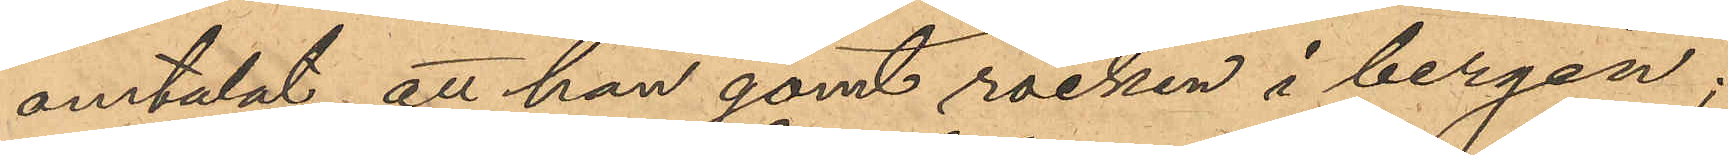omtalat att han gömt rocken i bergen;
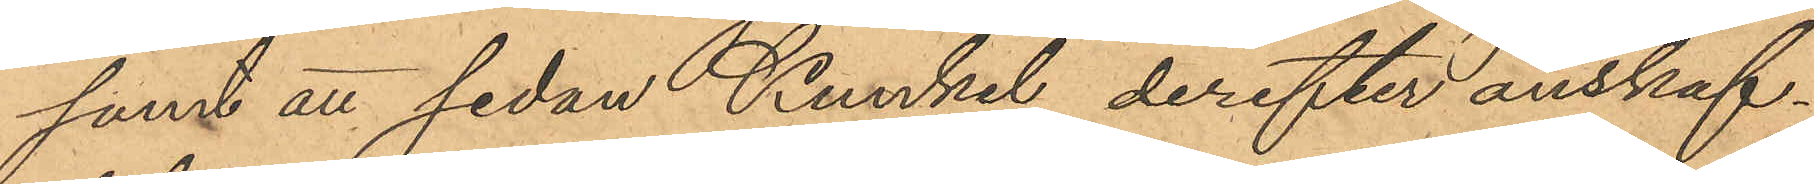samt att sedan Kunkel derefter anskaf¬
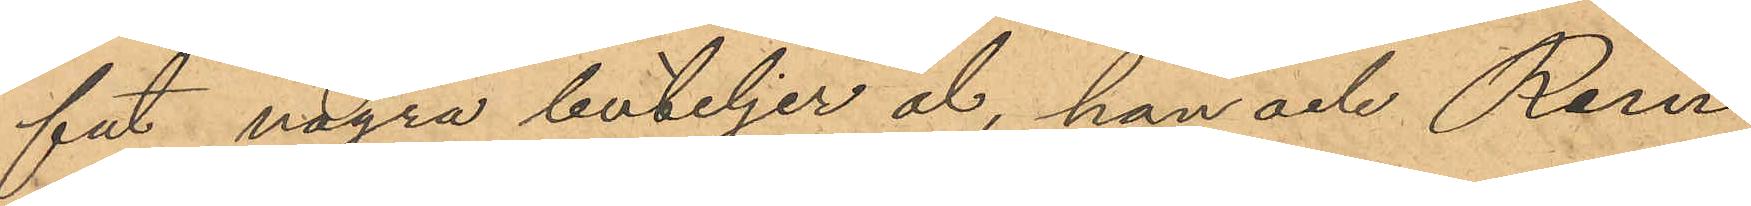fat några buteljer öl, han och Rem
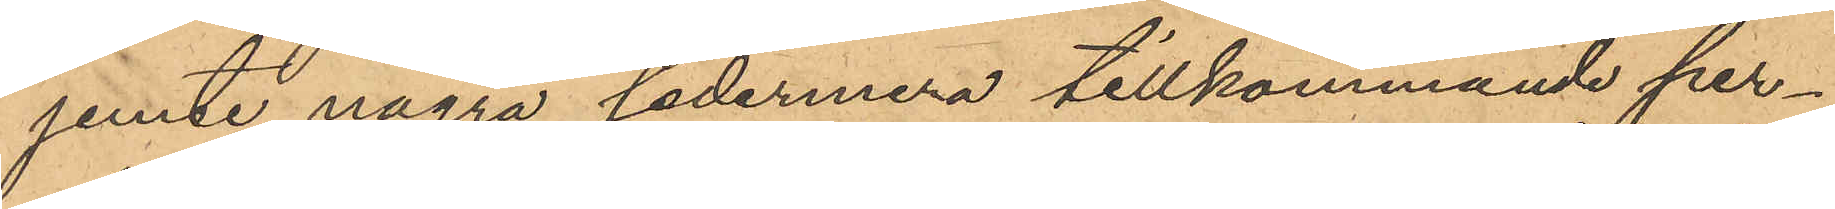jemte några sedermera tillkommande per¬
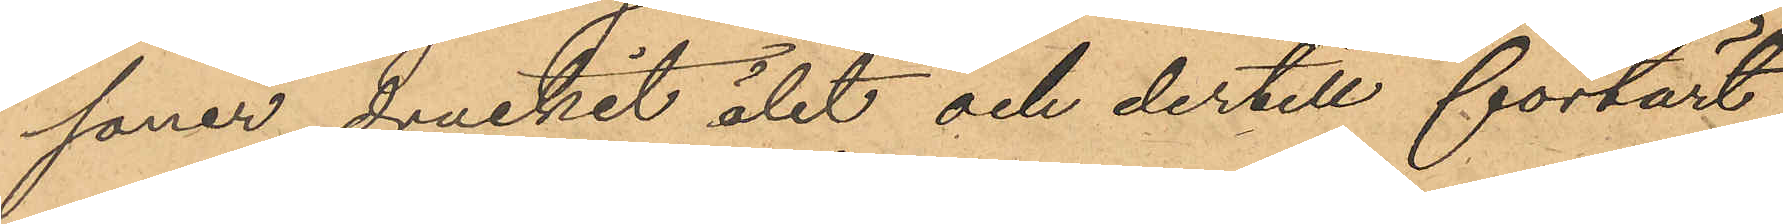soner druckit ölet och dertill förtärt
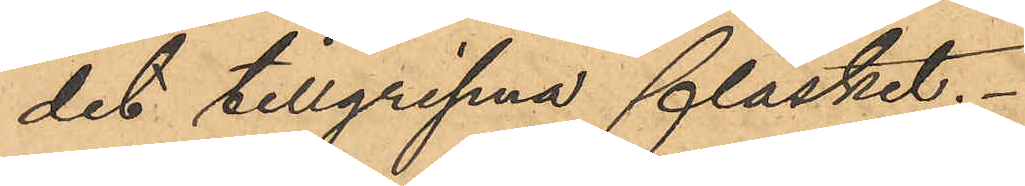det tillgripna fläsket.
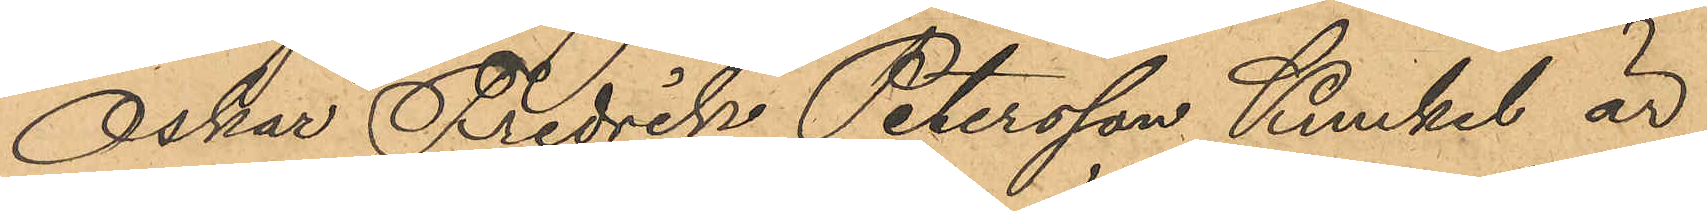Oskar Fredrik Petersson Kunkel är
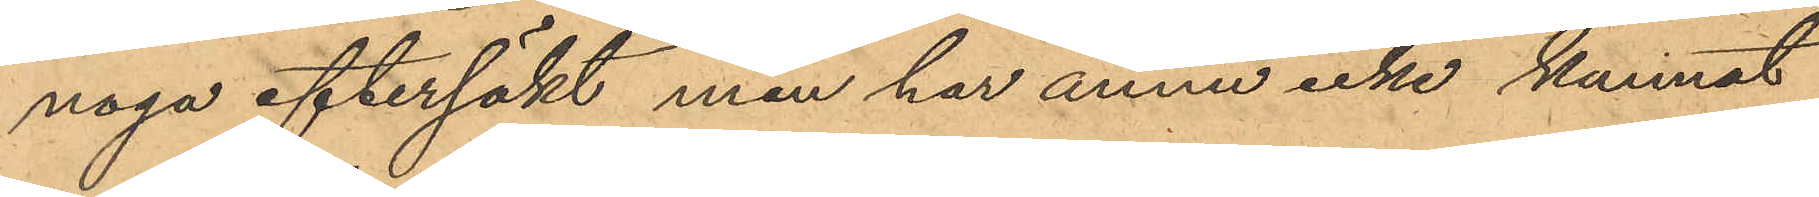noga eftersökt men har ännu icke kunnat
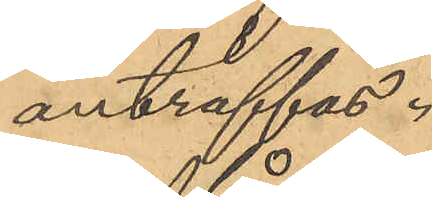anträffas.
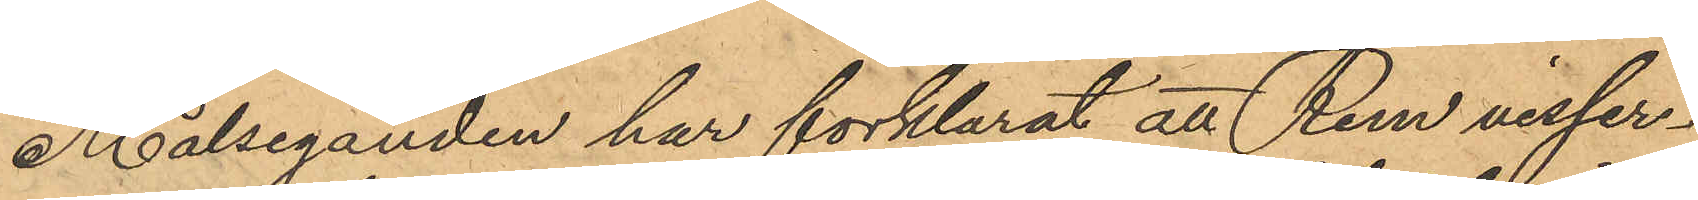Målseganden har förklarat att Rem visser¬
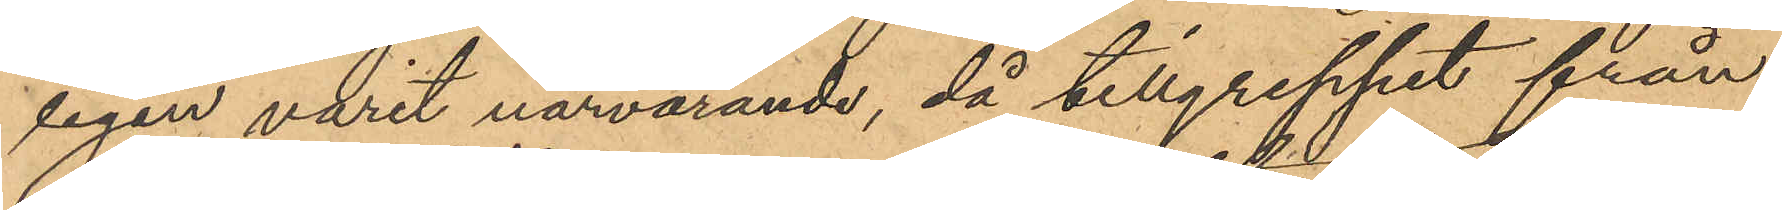ligen varit närvarande, då tillgreppet från
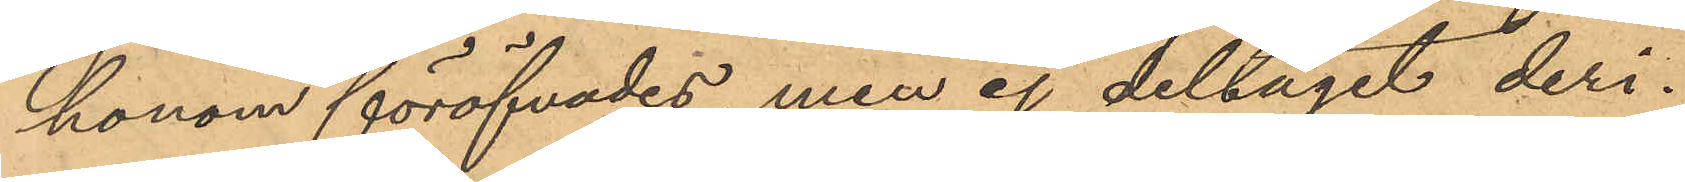honom föröfvades, men ej deltagit deri.
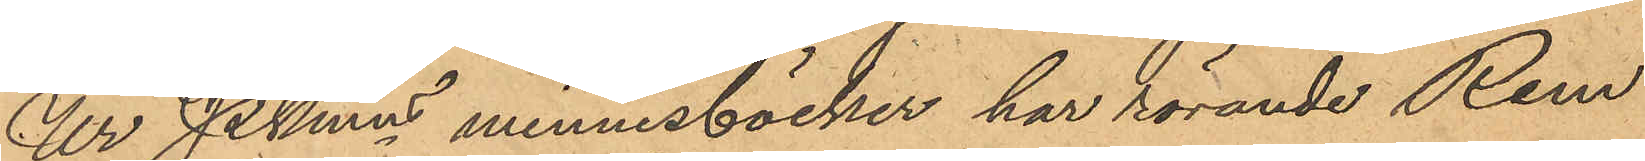Ur PKmn minnesböcker har rörande Rem
